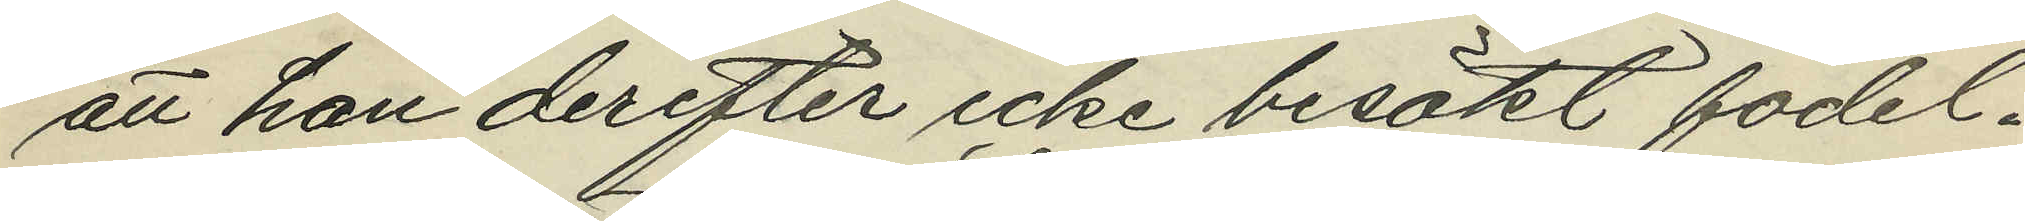att han derefter icke besökt födel¬
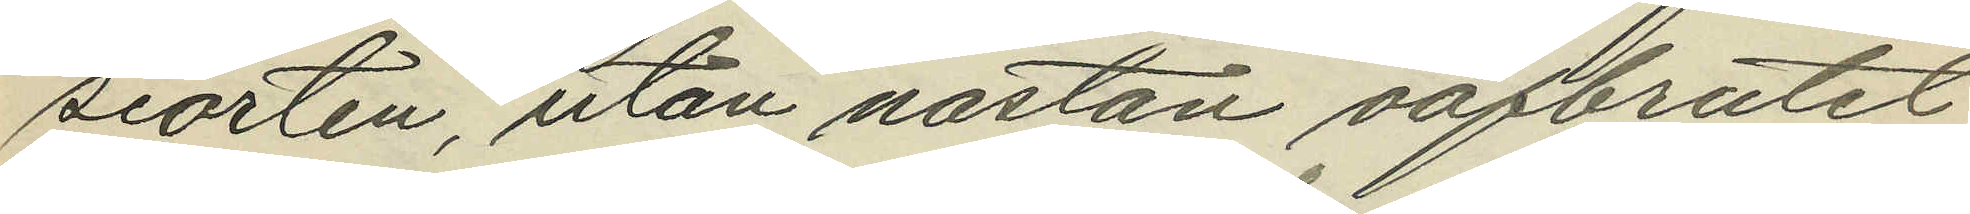seorten, utan nästan oafbrutet
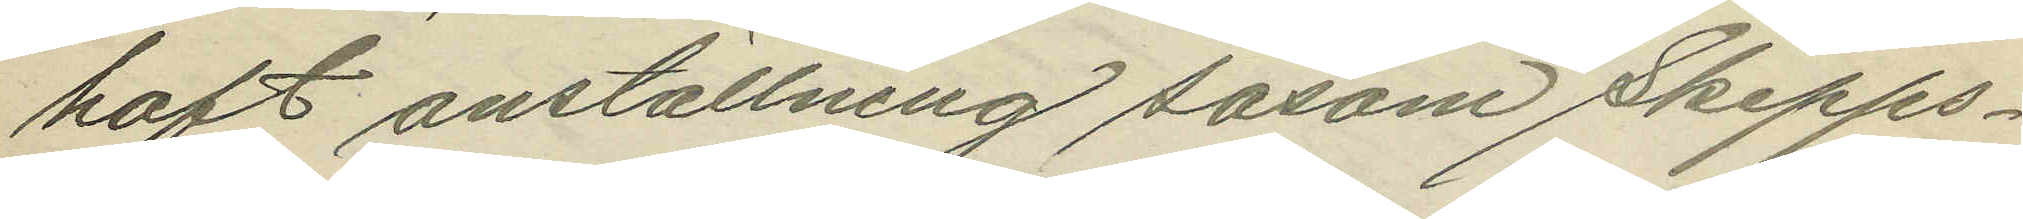haft anställning såsom Skepps¬
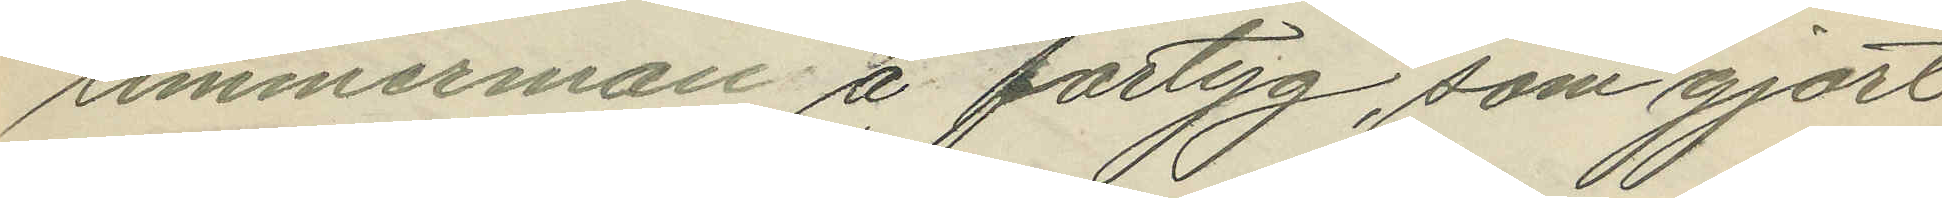timmerman å fartyg, som gjort
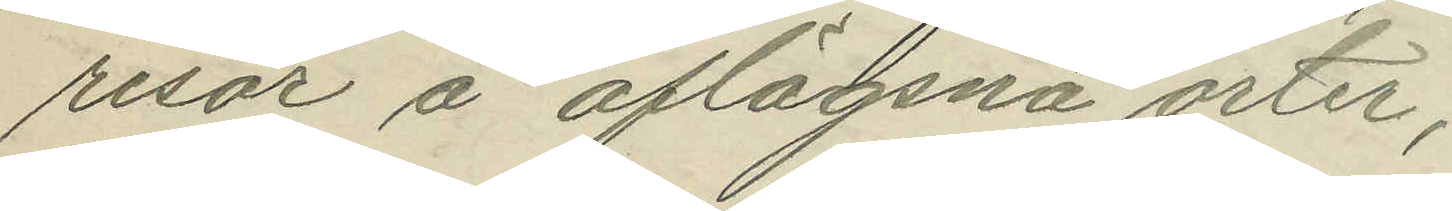resor å aflägsna orter;
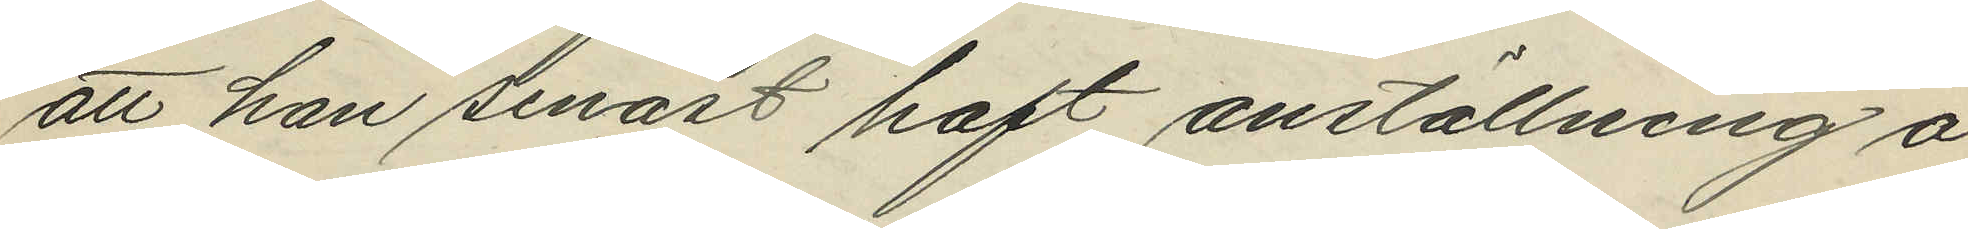att han senast haft anställning å
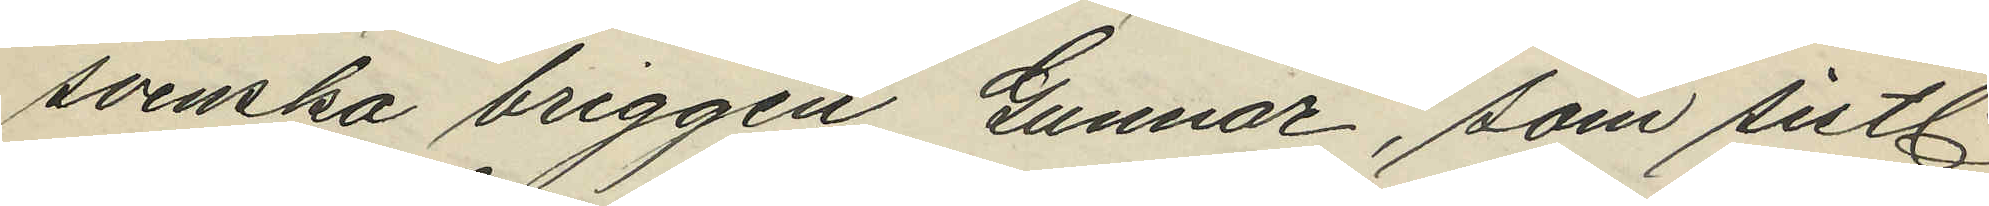svenska briggen Gunnar, som sistl.
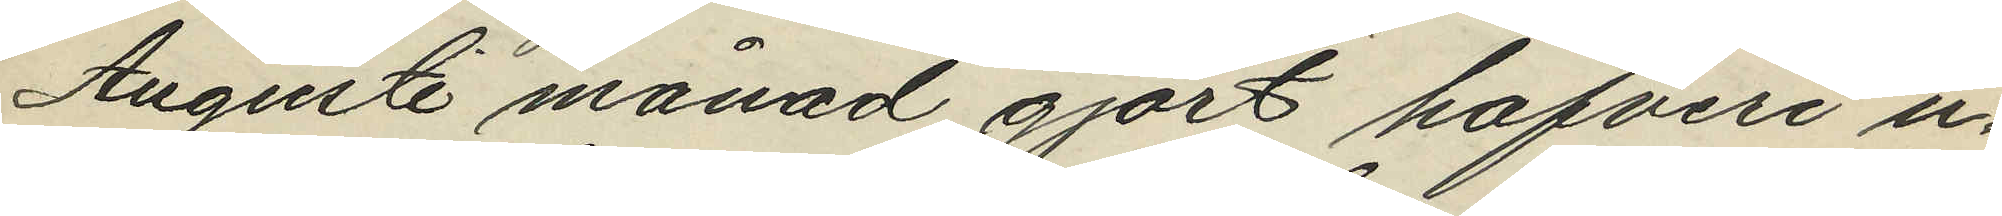Augusti månad gjort hafveri u¬
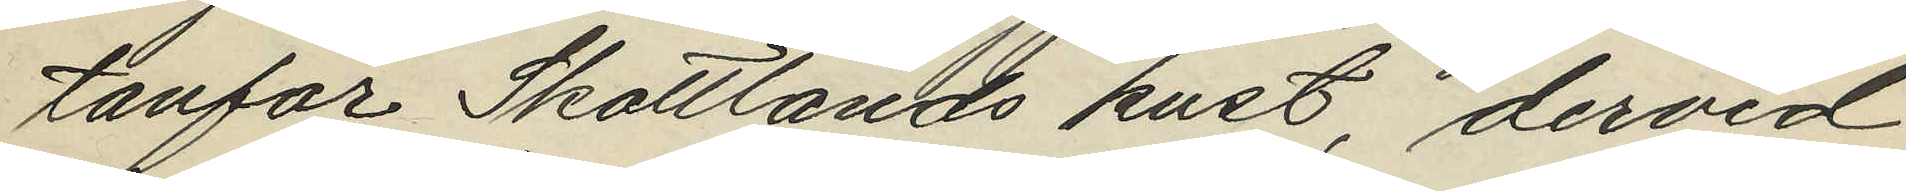tanför Skottlands kust, dervid
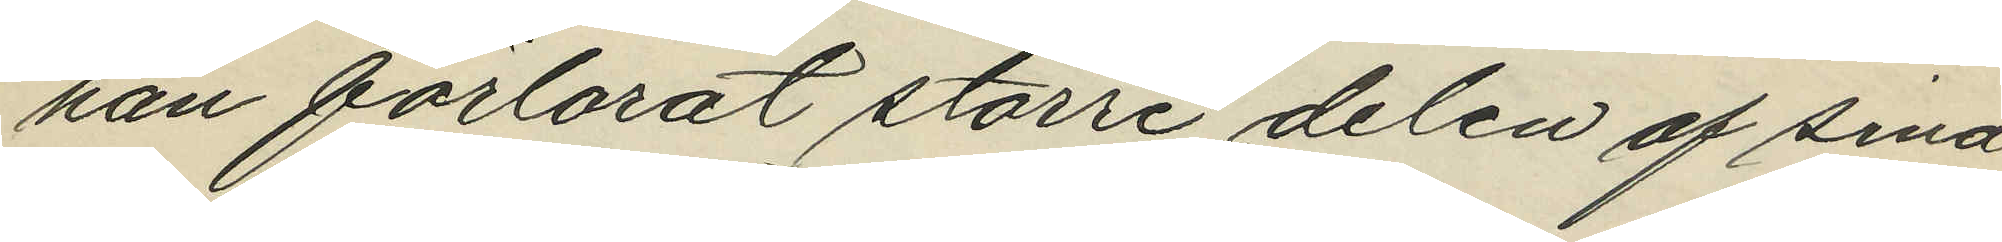han förlorat större delen af sina
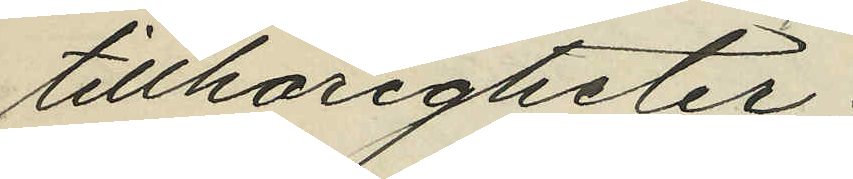tillhörigheter;
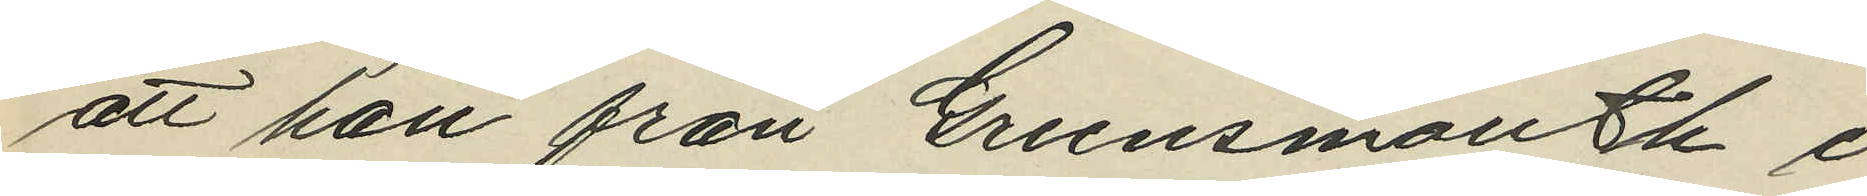att han från Greensmouth i
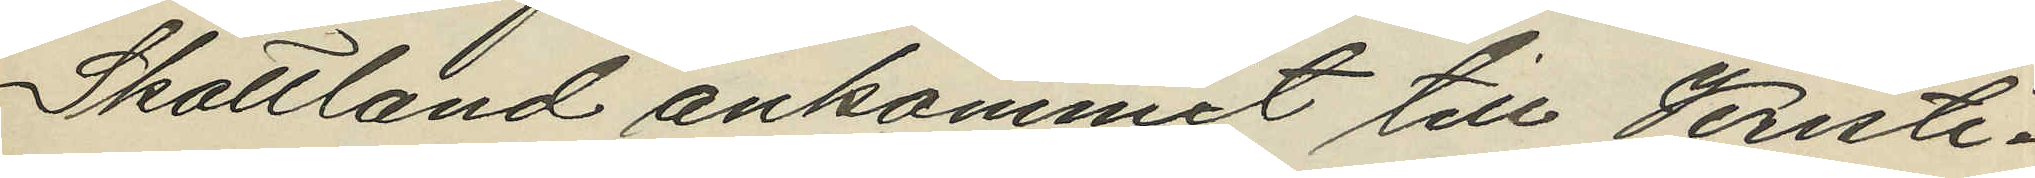Skottland ankommit till Kristi¬
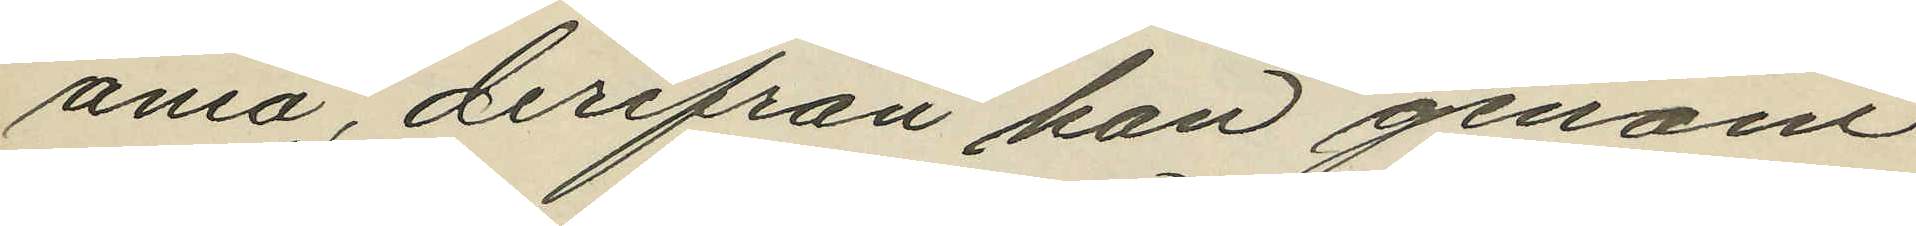ania, derifrån han genom
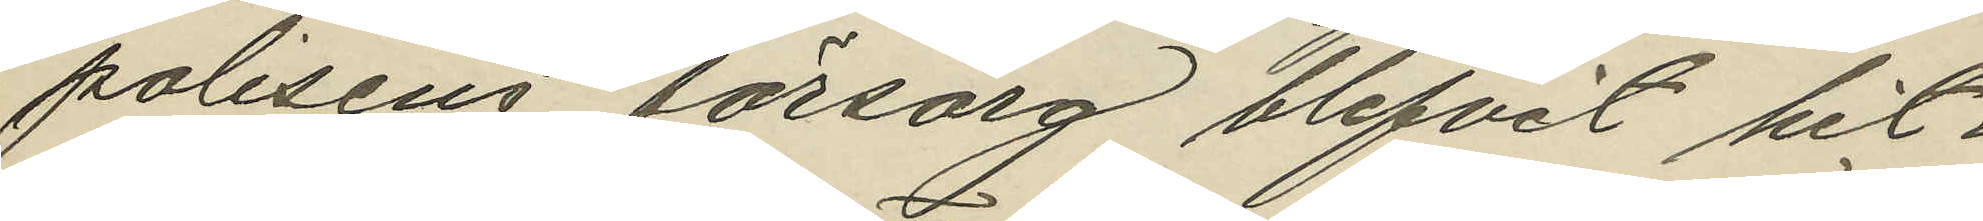polisens försorg blifvit hit¬
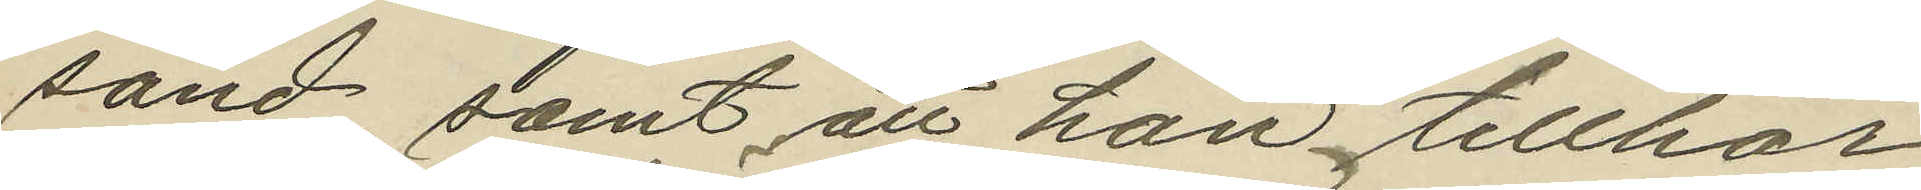sänd samt att han tillhör
